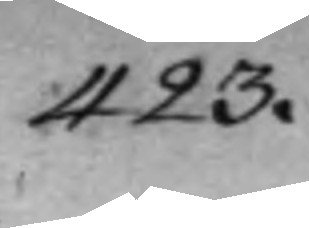423.
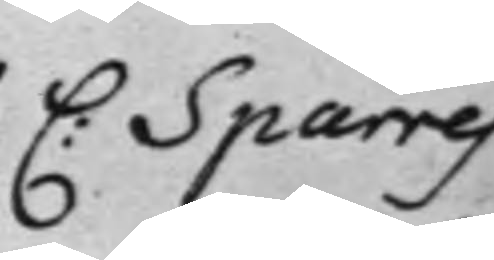C: Sparres
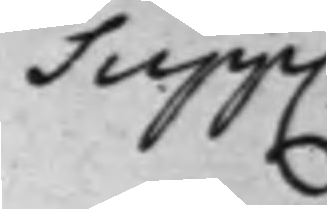Supp.
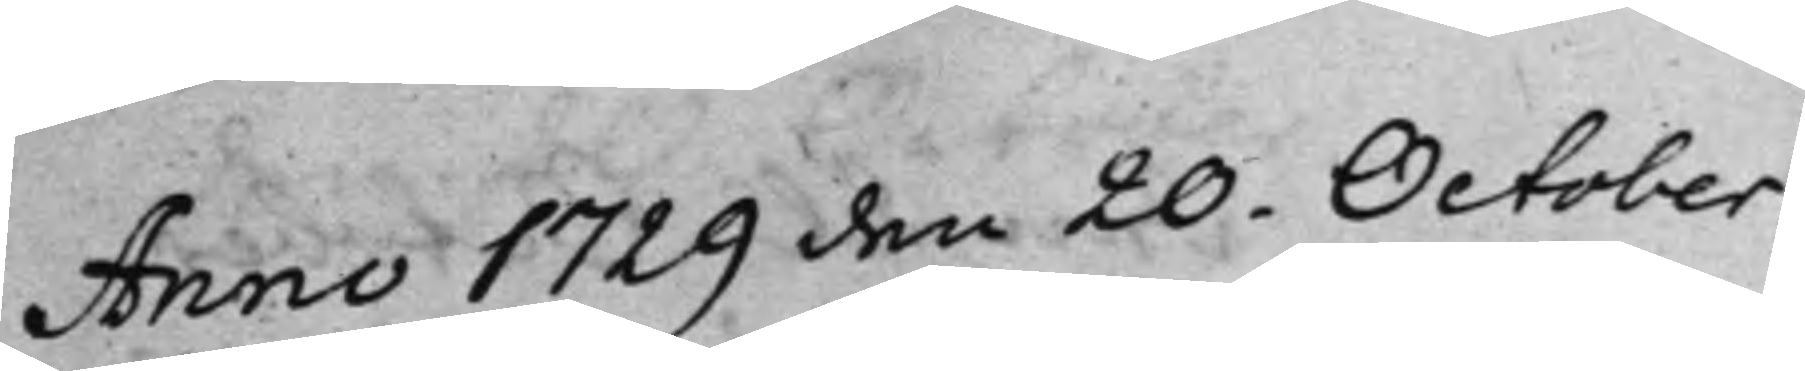Anno 1729 den 20. October.
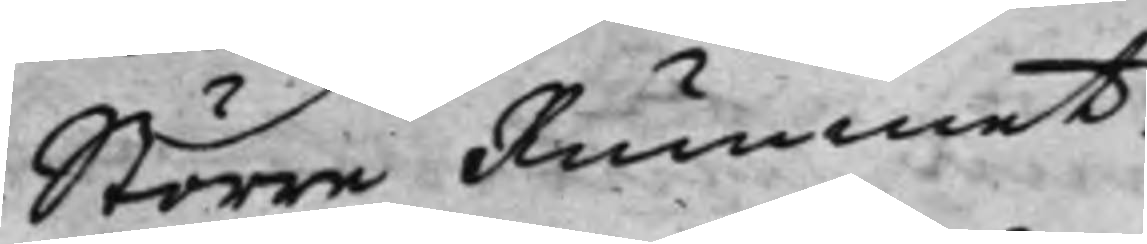Större Rummet.
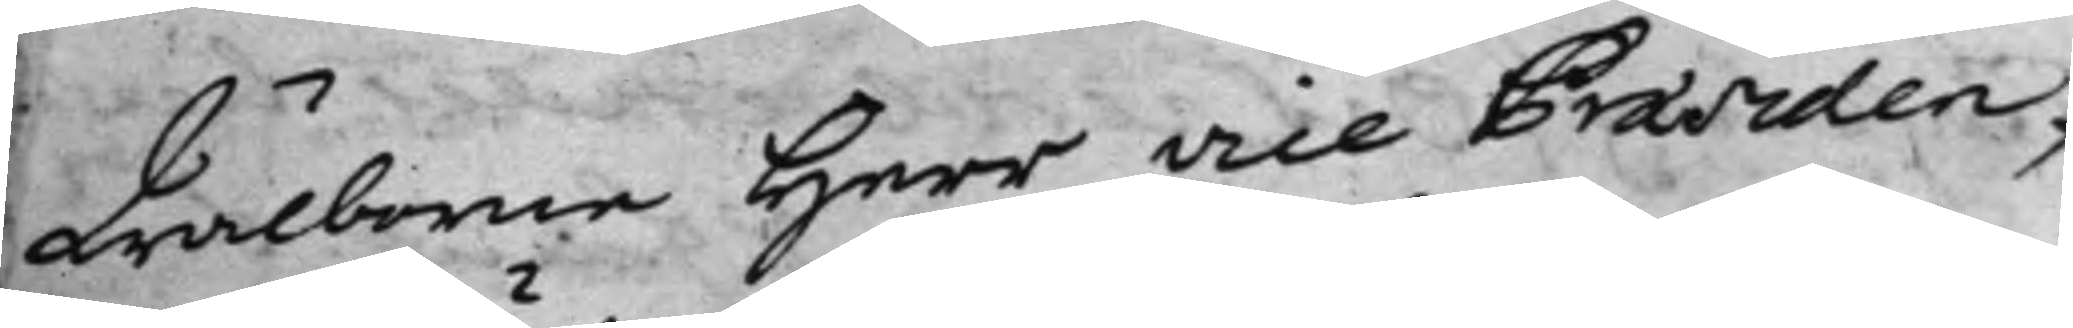Wälborne Herr Vice Præsiden¬
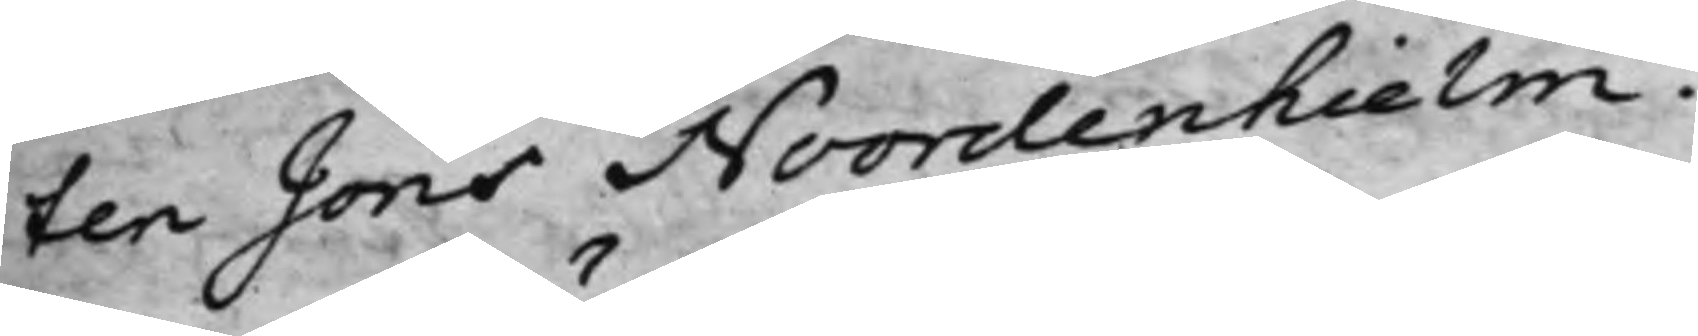ten Jöns Noordenhielm.
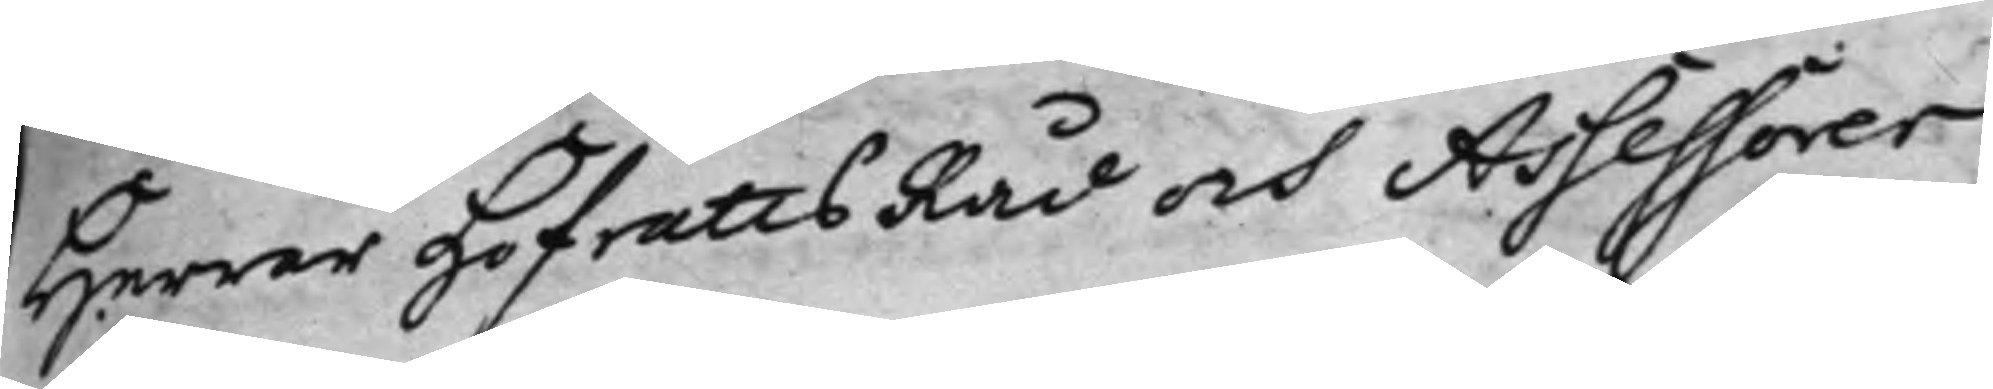Herrar Hofrätts Råd och Assessorer,
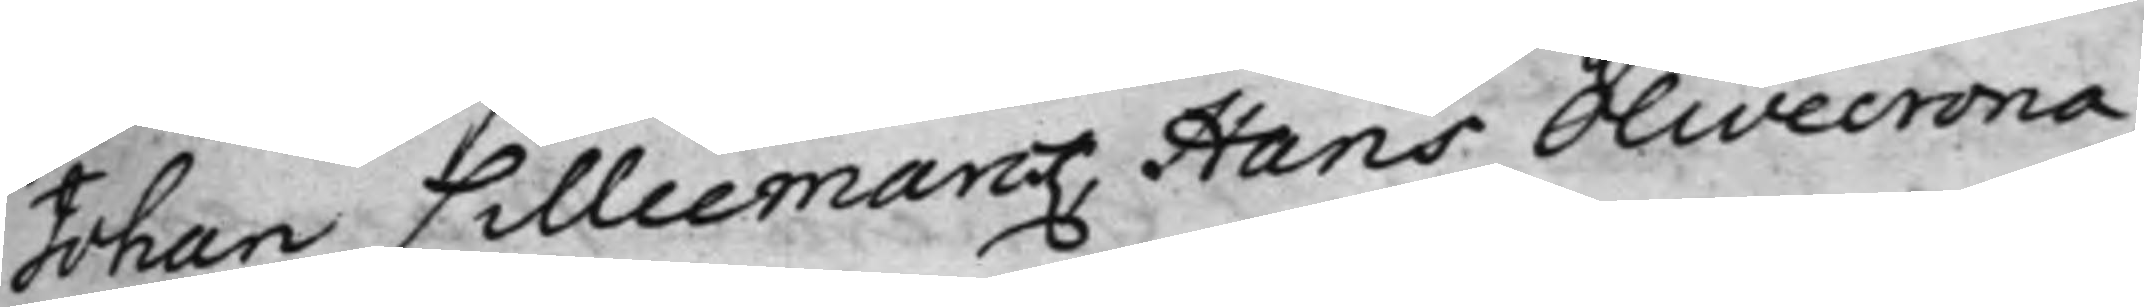Johan Lilliemarck, Hans Olivecrona,
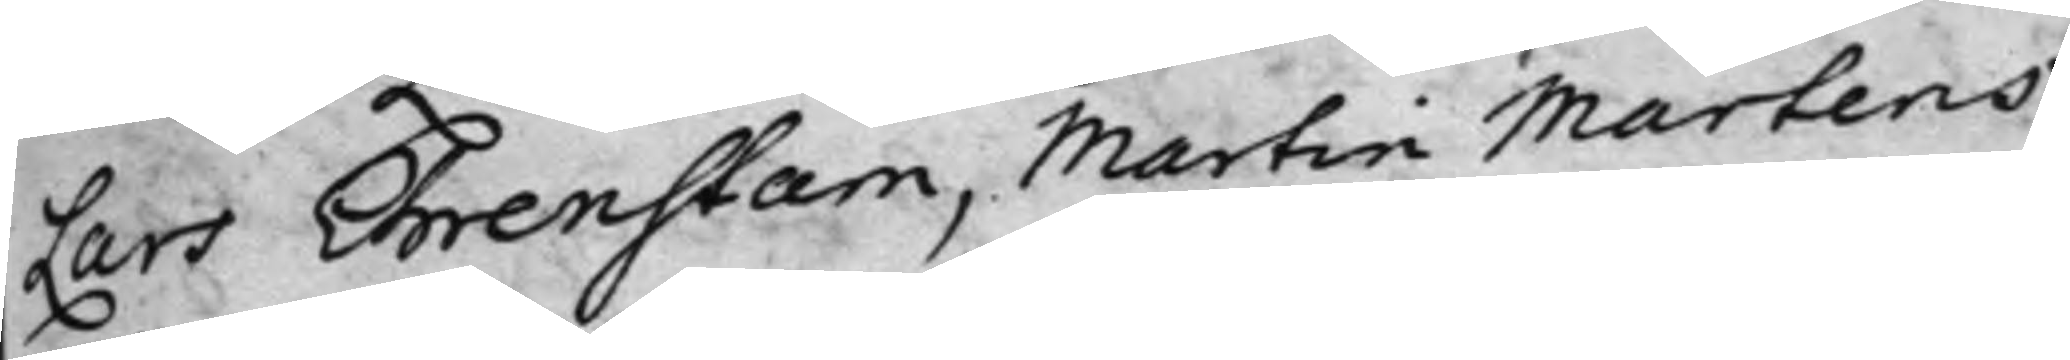Lars Ehrenstam, Martin Martens,
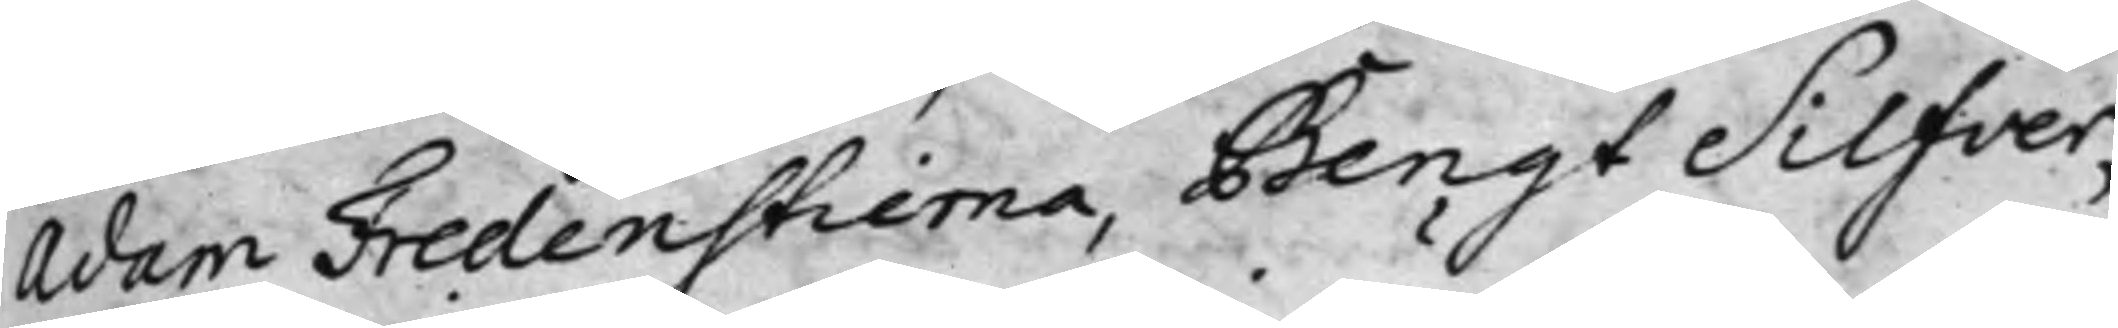Adam Fredenstierna, Bengt Silfwer¬
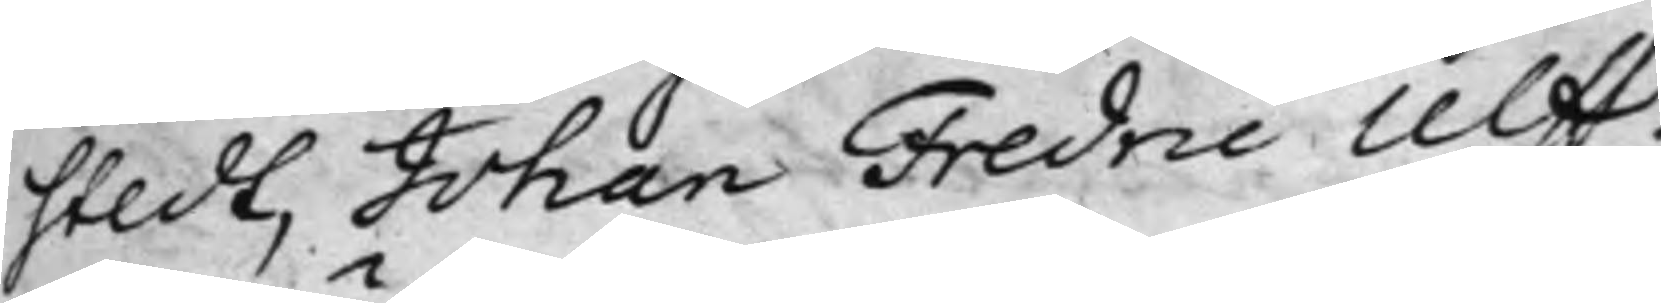stedt, Johan Fredric Ulff.
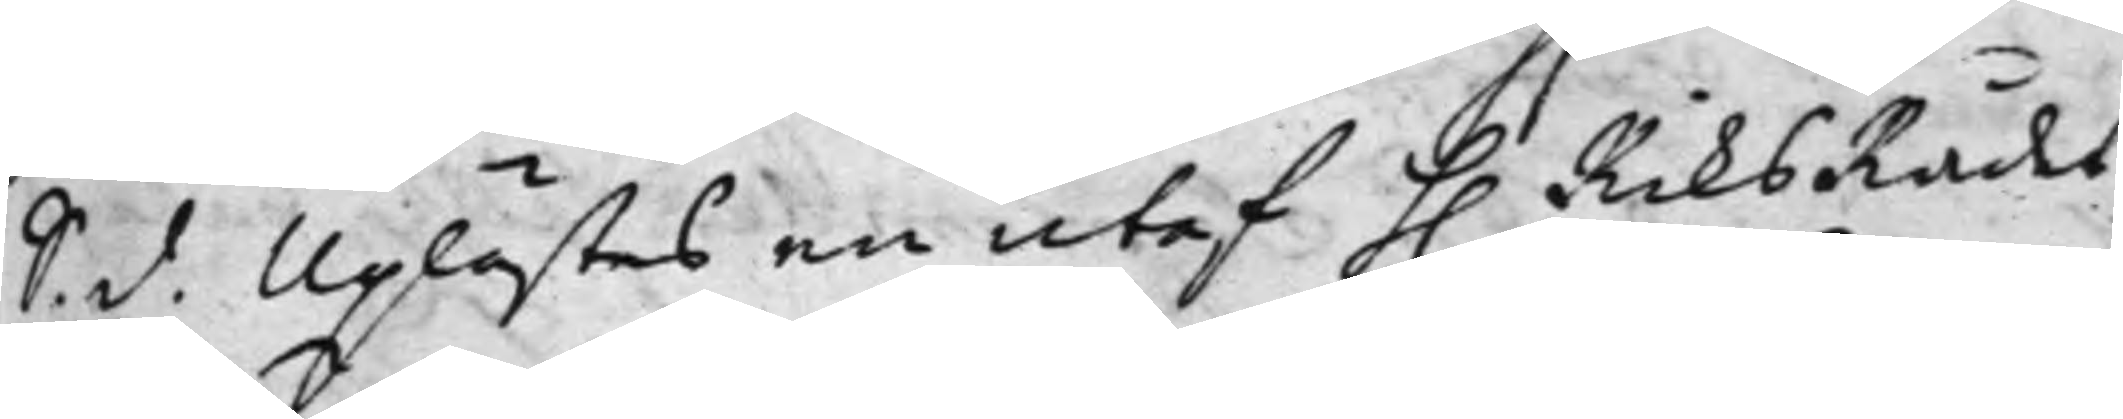S. d. Uplästes en utaf H. RiksRådet
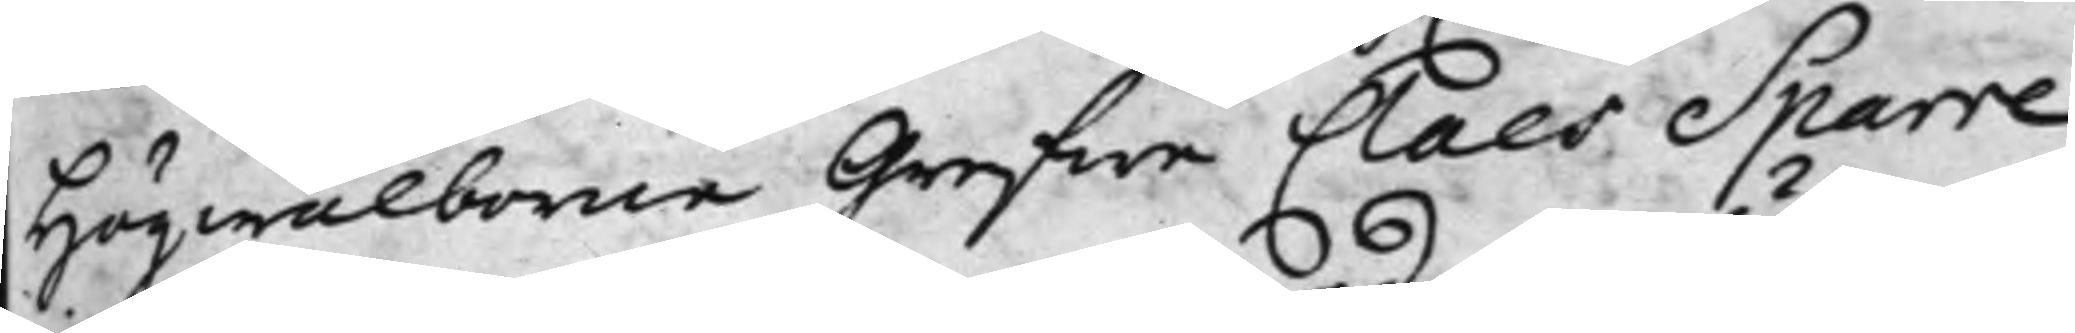Högwälborne Grefwe Claes Sparre
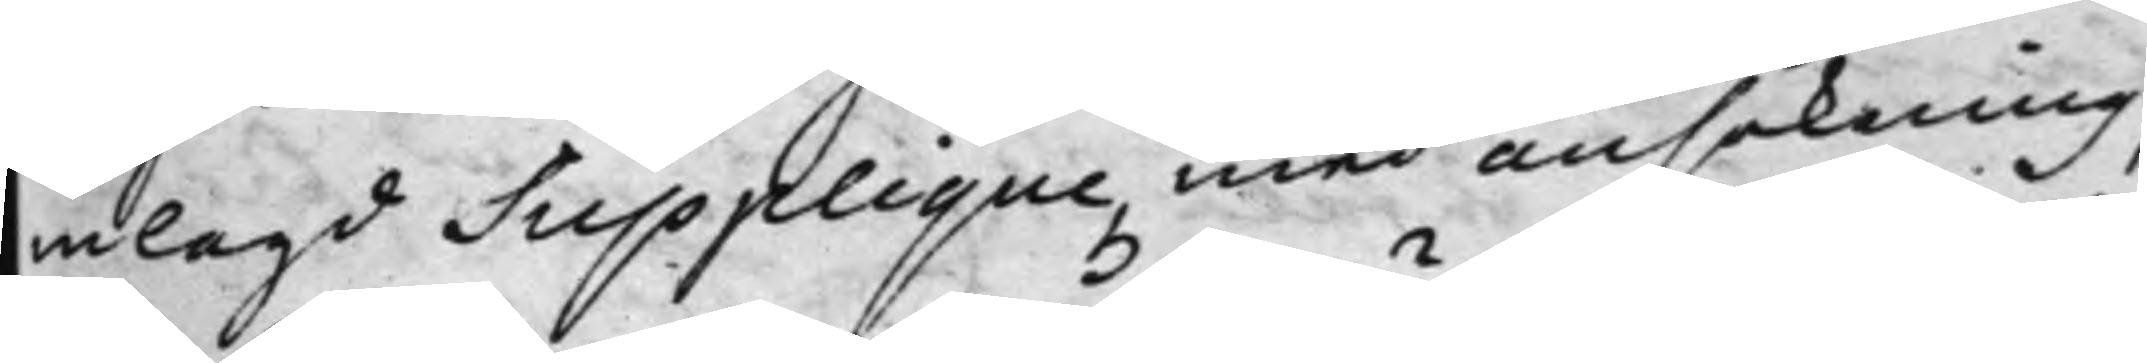inlagd Supplique, med ansökning,
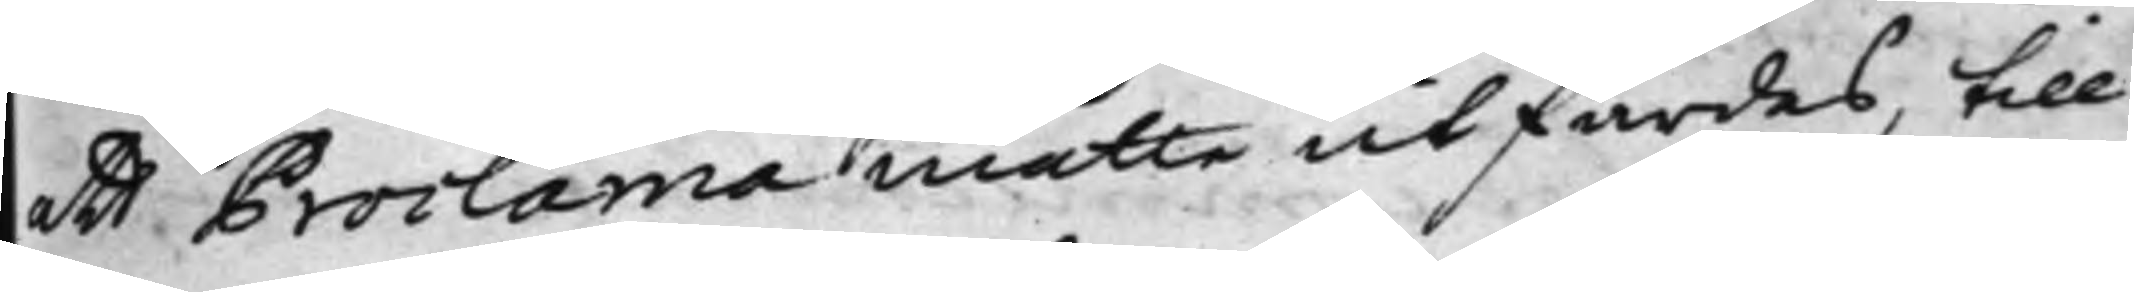att Proclama måtte utfärdes, till
